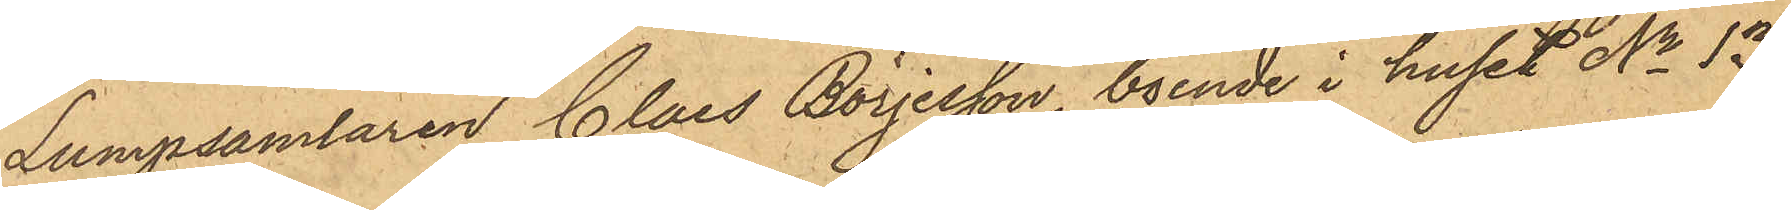Lumpsamlaren Claes Börjesson, boende i huset No 13
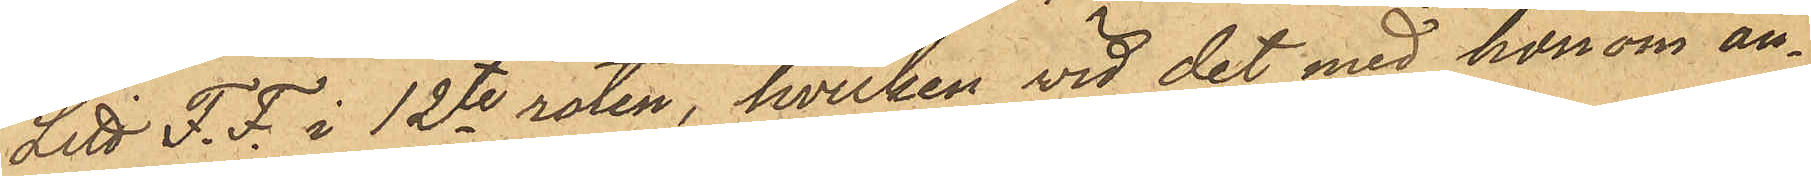Litt F. F. i 12te roten, hvilken vid det med honom an¬
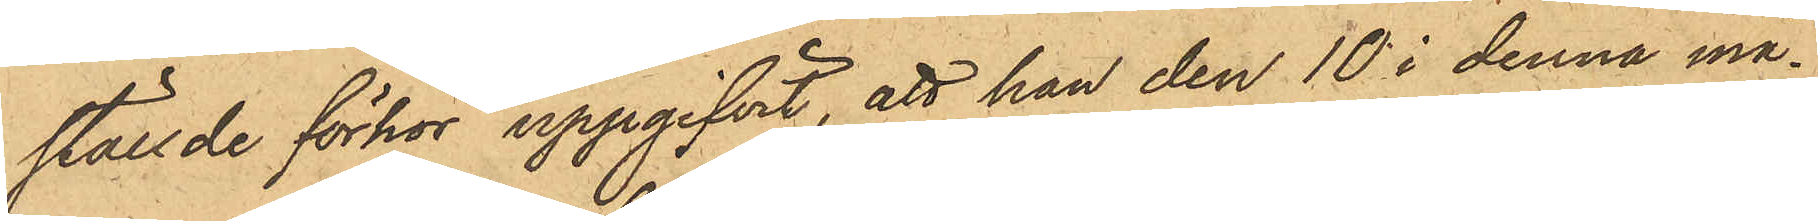ställde förhör uppgifvit, att han den 10 i denna må¬
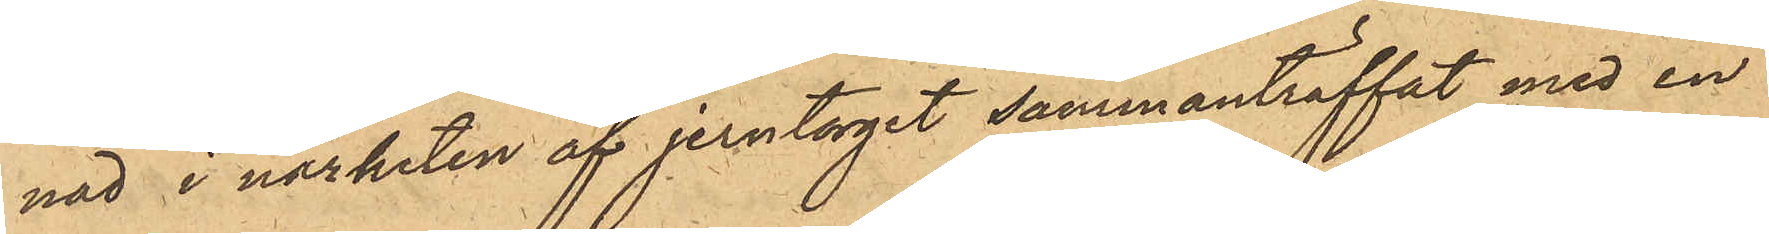nad i närheten af jerntorget sammanträffat med en
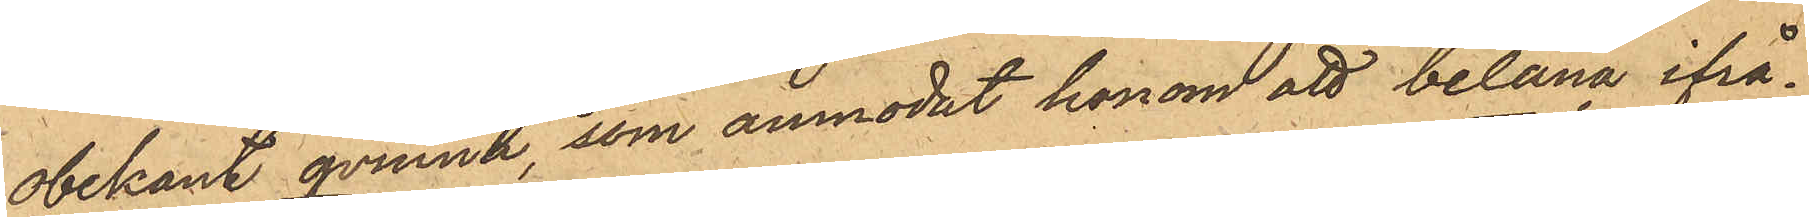obekant qvinna, som anmodat honom att belåna ifrå¬
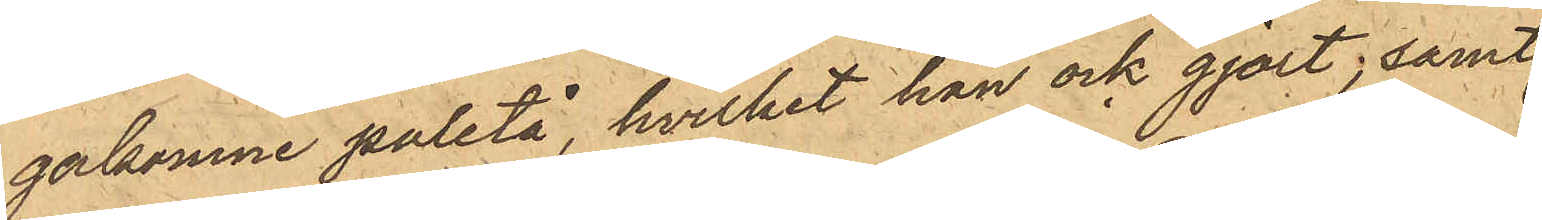gakomne paletå, hvilket han ock gjort, samt
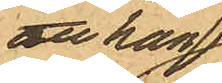att han
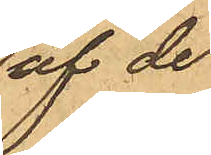af de
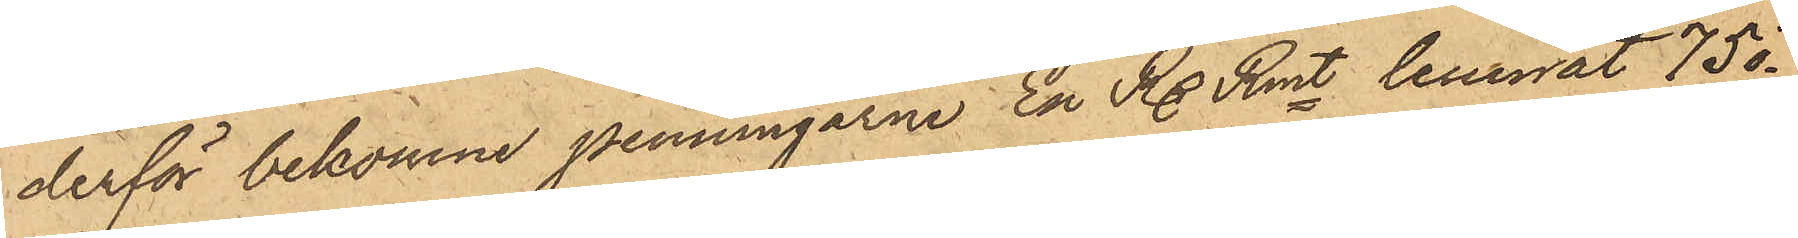derför bekomne penningarne En Rdr Rmt lemnat 75 ö¬
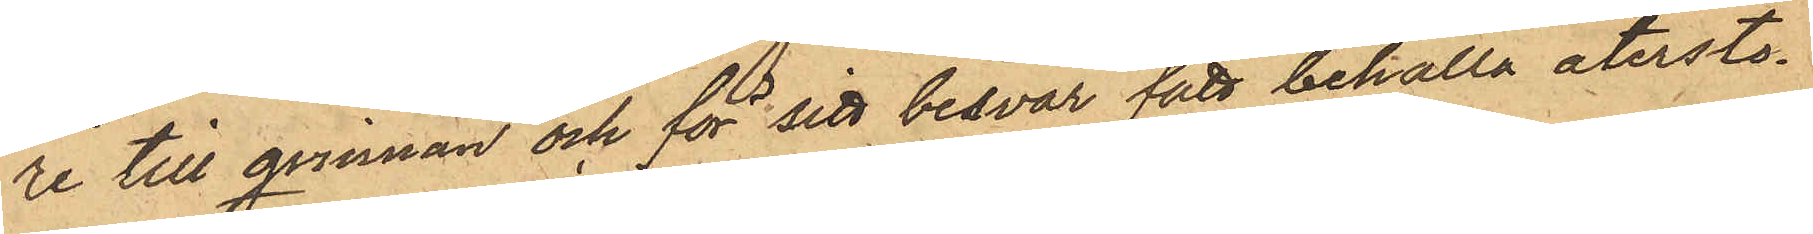re till qvinnan och för sitt besvär fått behålla återsto¬
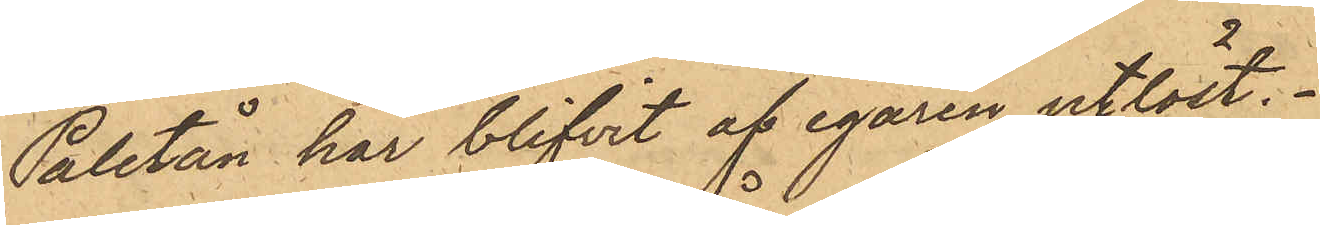Paletån har blifvit af egaren utlöst.
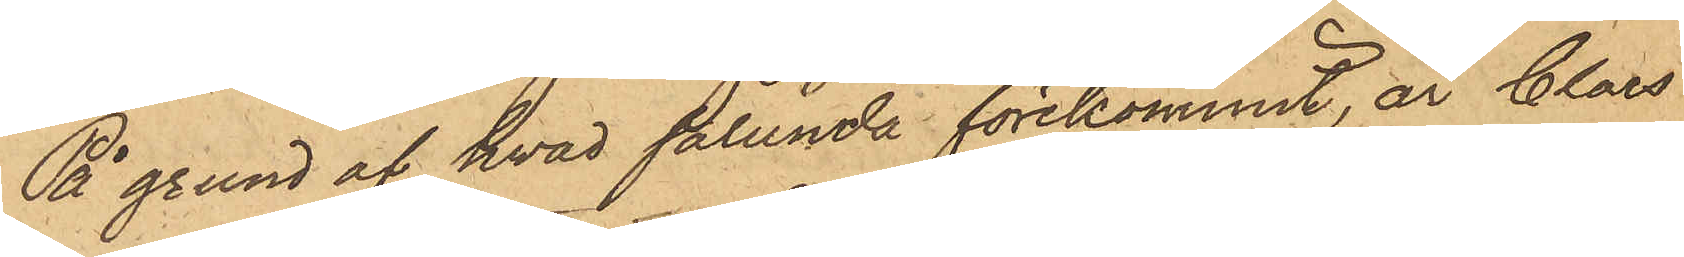På grund af hvad sålunda förekommit, är Claes
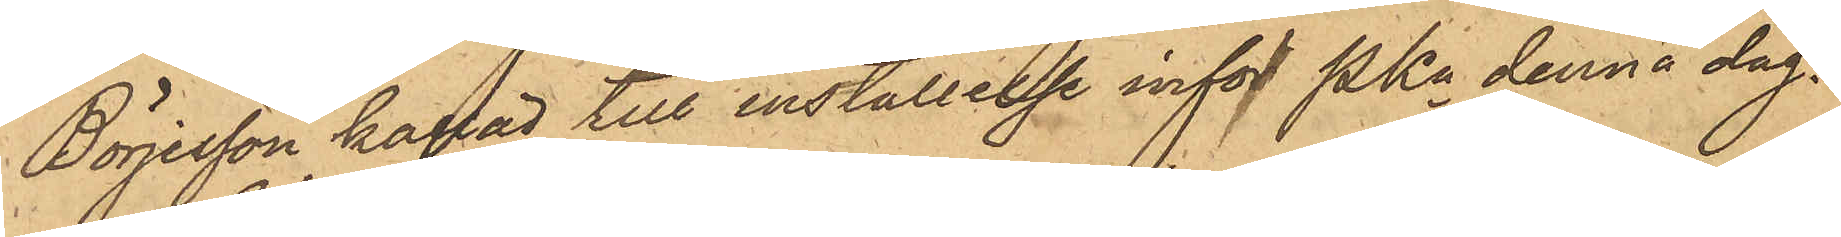Börjesson kallad till inställelse inför PKn denna dag.
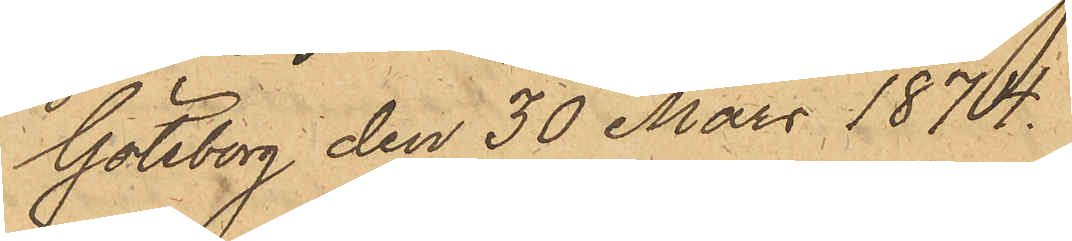Göteborg den 30 Mars 1874.
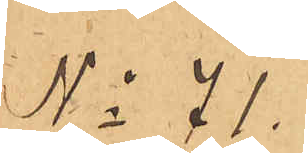No 71.
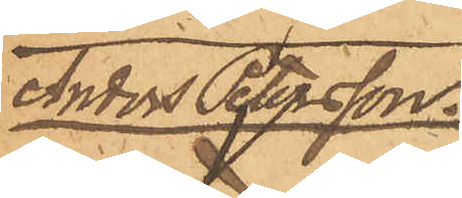Anders Petersson.
